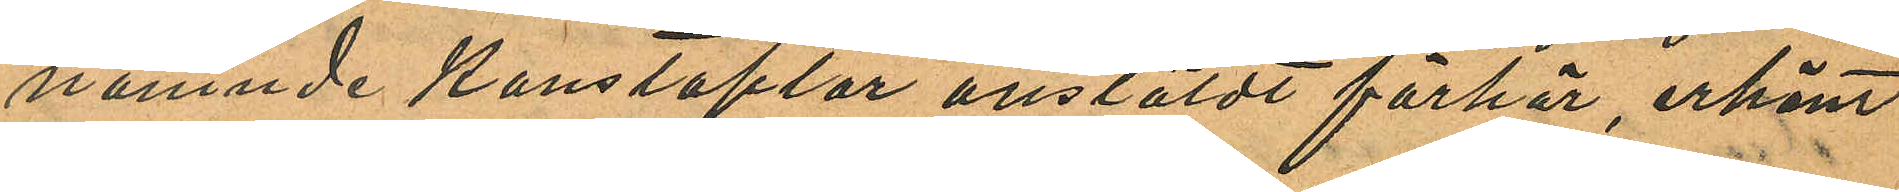nämnde Konstaplar anstäldt förhör, erkänt
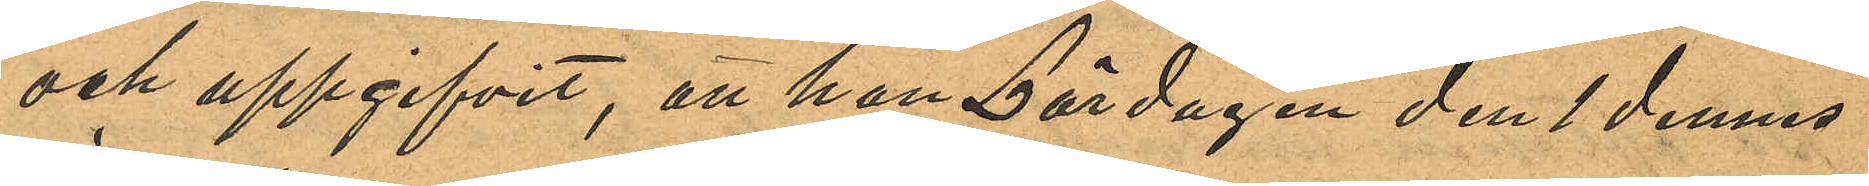och uppgifvit, att han Lördagen den 1 dennes
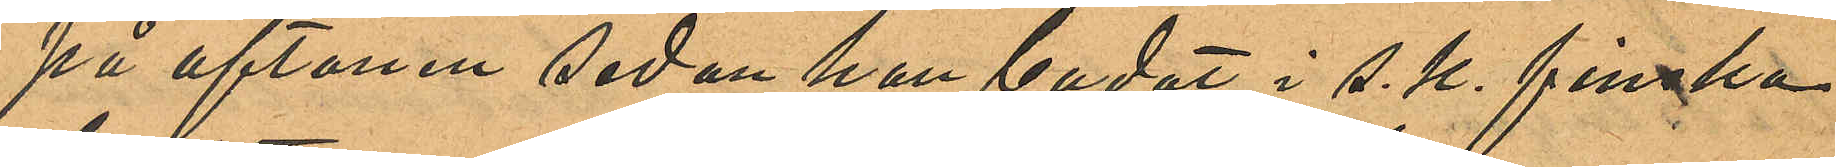på aftonen sedan han badat i s. k. finska
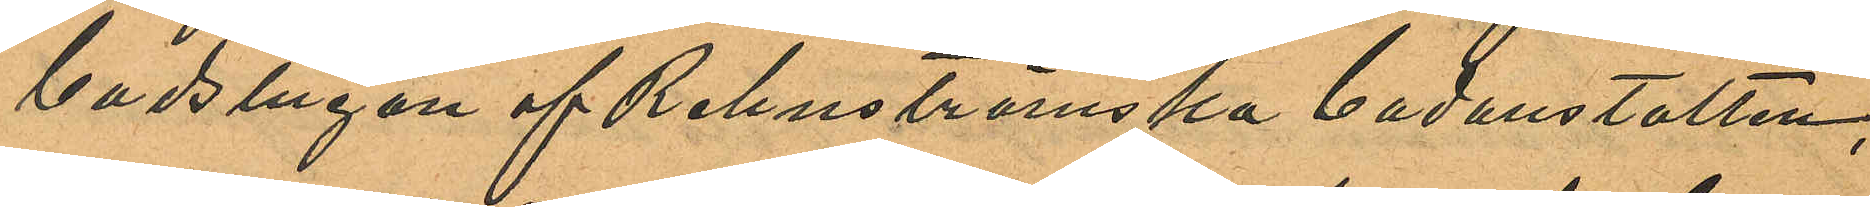badstugan af Rehnströmska badanstalten;
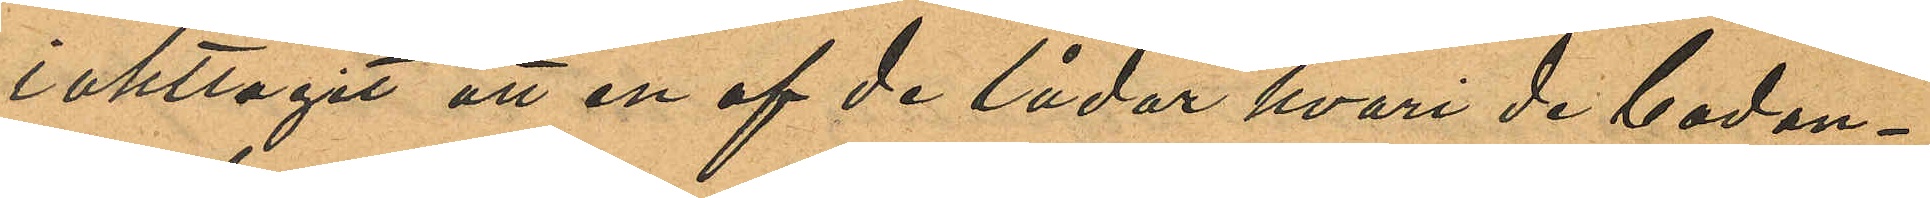iakttagit att en af de lådor hvari de badan¬
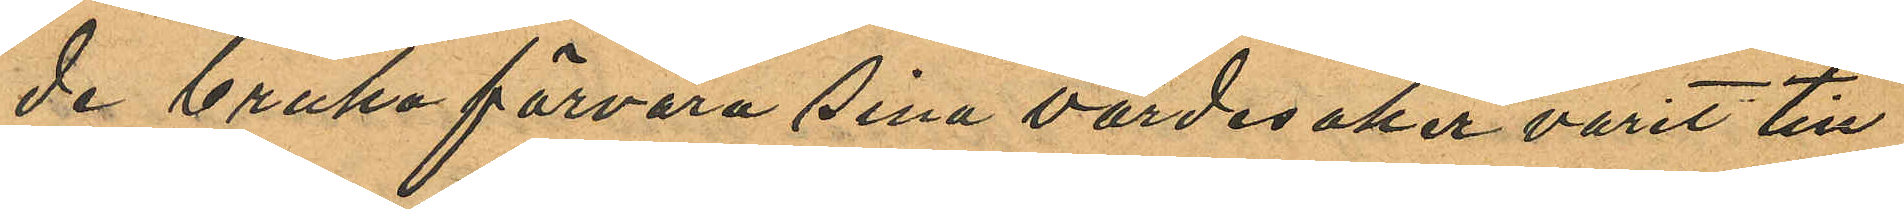de bruka förvara sina värdesaker varit till
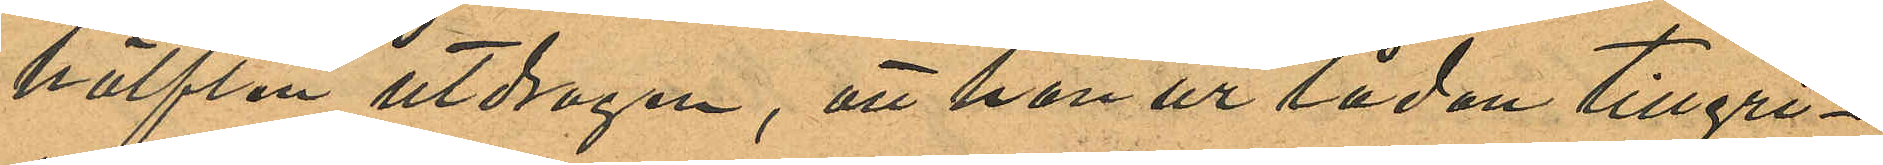hälften utdragen, att han ur lådan tillgri¬
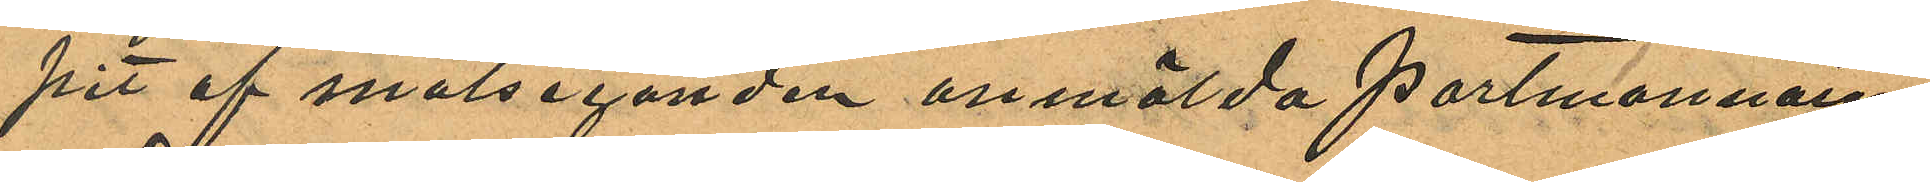pit af målseganden anmälda portmonnaien
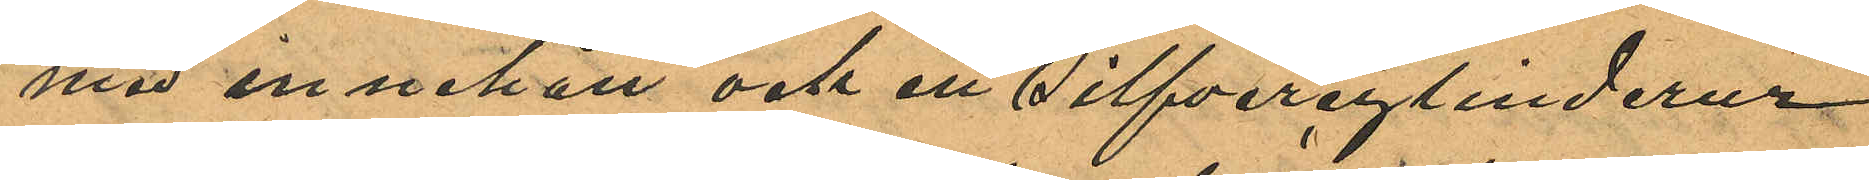med innehåll och ett silfvercylinderur
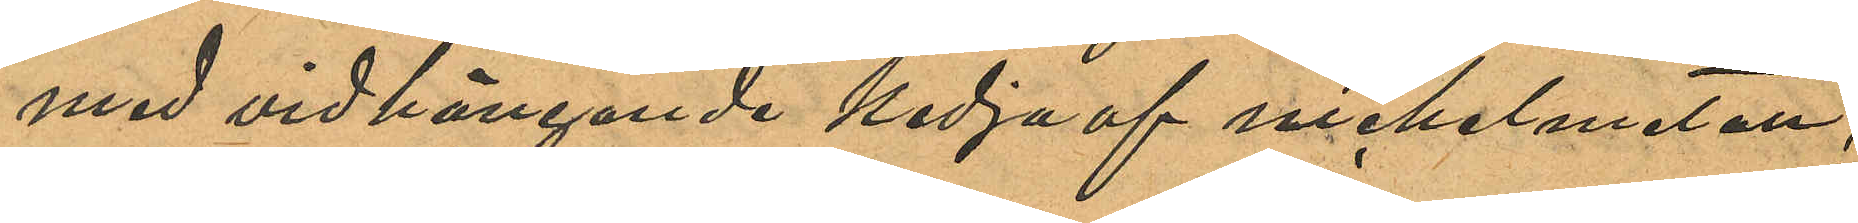med vidhängande kedja af nickelmetall,
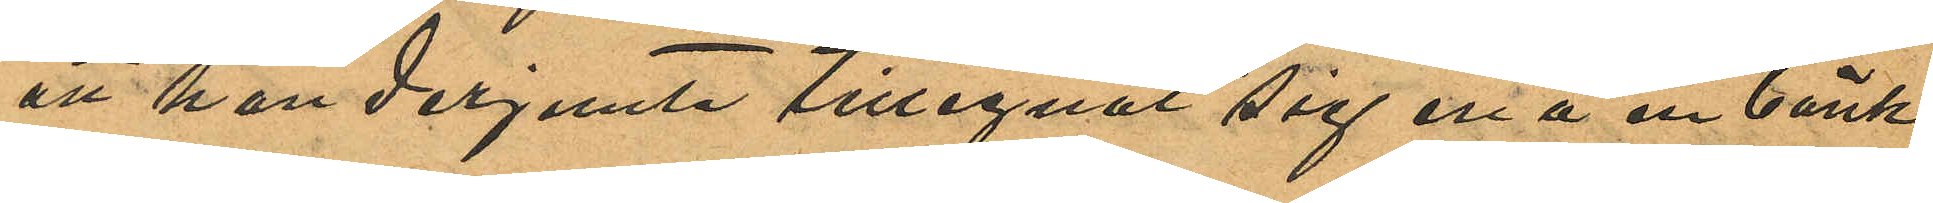att han derjemte tillegnat sig en å en bänk
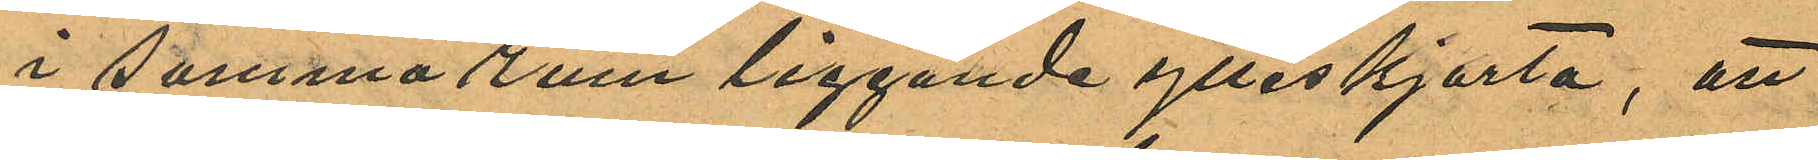i samma rum liggande ylleskjorta, att
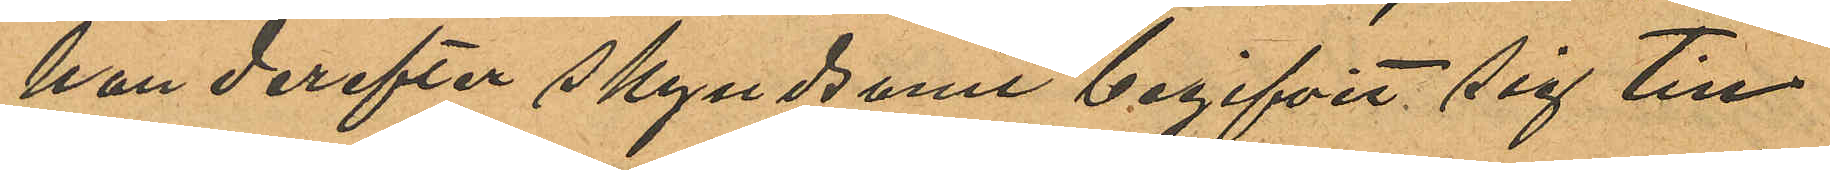han derefter skyndsamt begifvit sig till
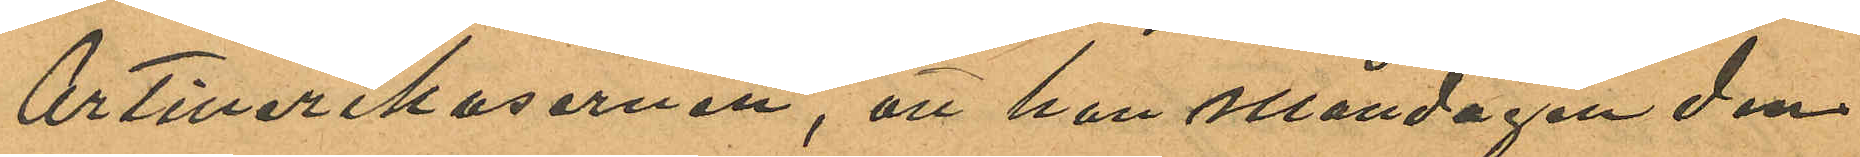Artillerikasernen, att han Måndagen den
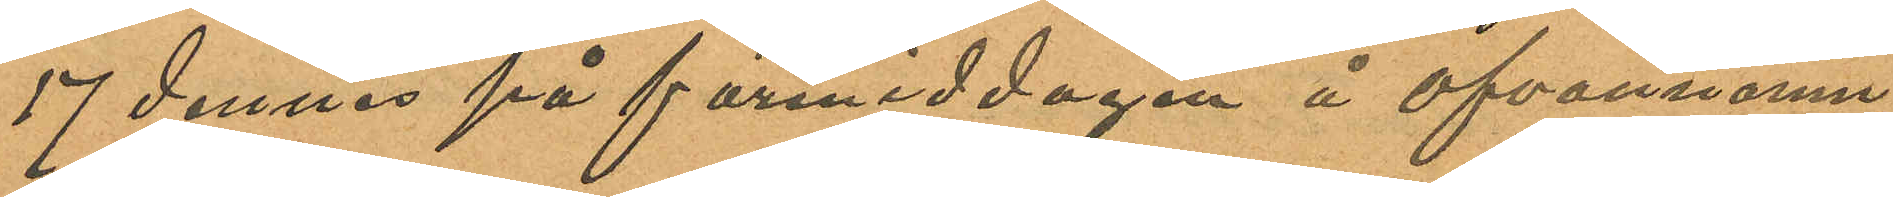17 dennes på förmiddagen å ofvannämn¬
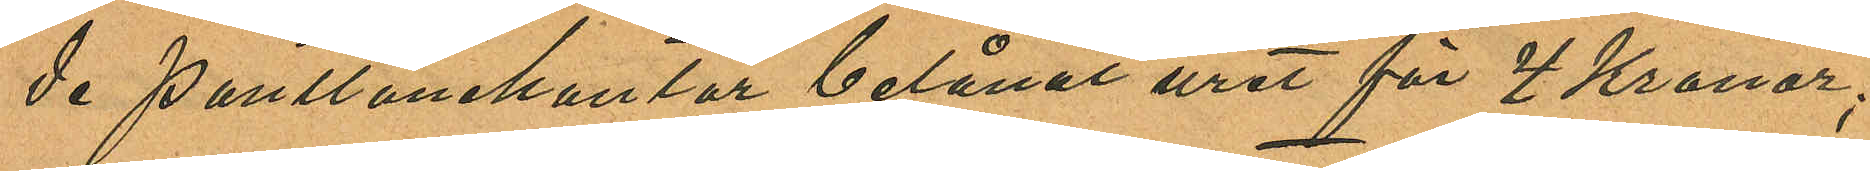de pantlånekontor belånat uret för 4 Kronor;
